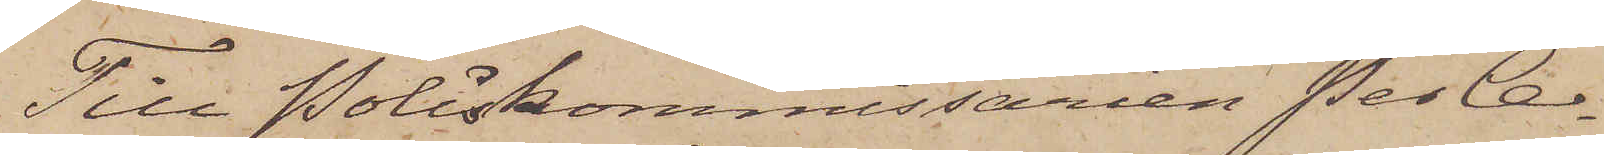Till Poliskommissarien Per Ce¬
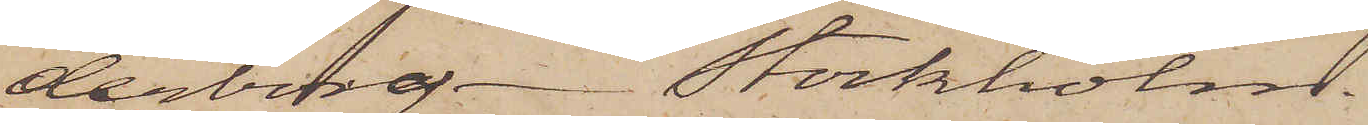derborg Stockholm.
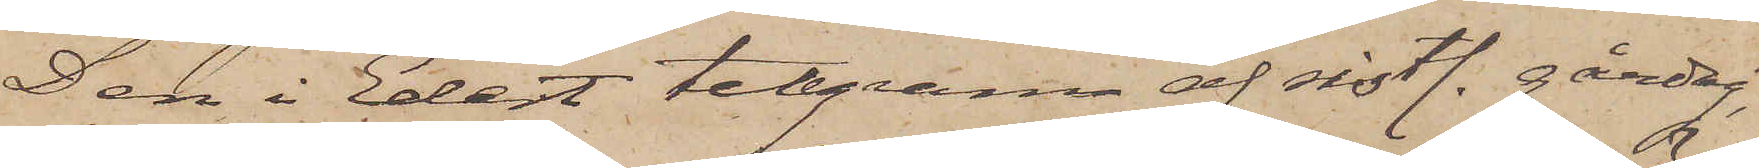Den i Edert telegram af sistl. gårdag,
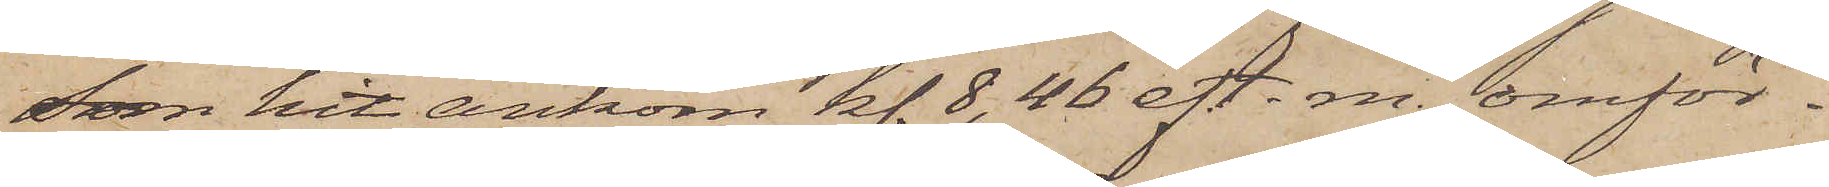som hit ankom kl. 8,46 eft. m., omför¬
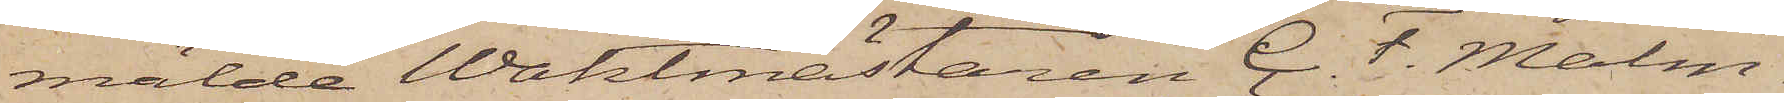mälde Waktmästaren C. F. Malm¬
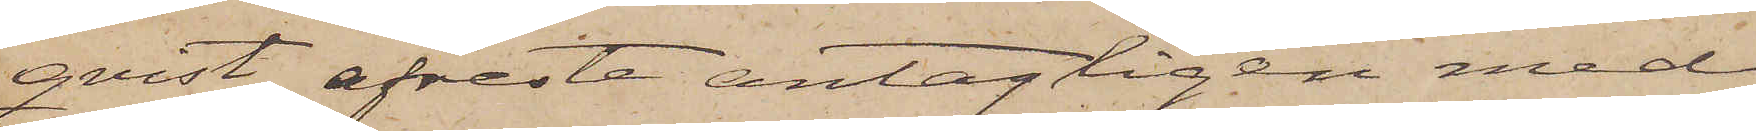qvist afreste antagligen med
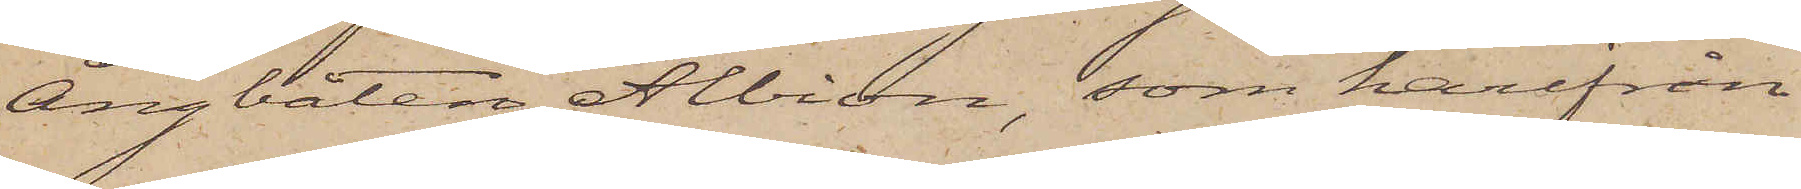ångbåten Albion, som härifrån
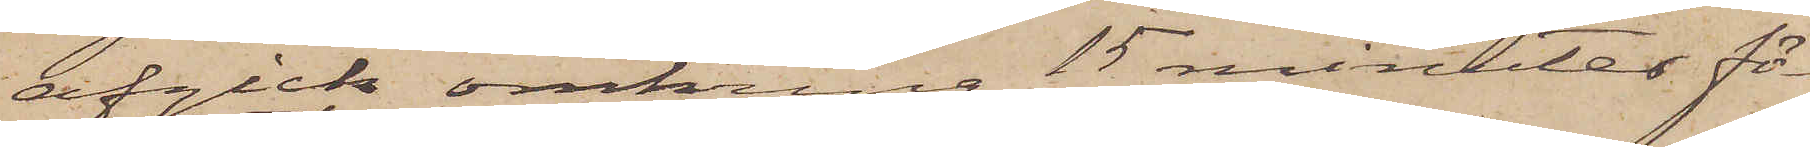afgick omkring 15 minuter fö¬
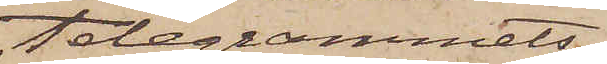telegrammets
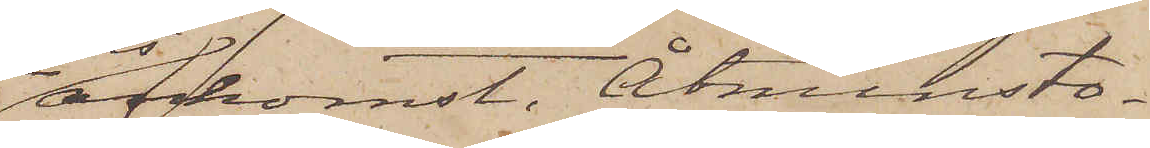ankomst. Åtminsto¬
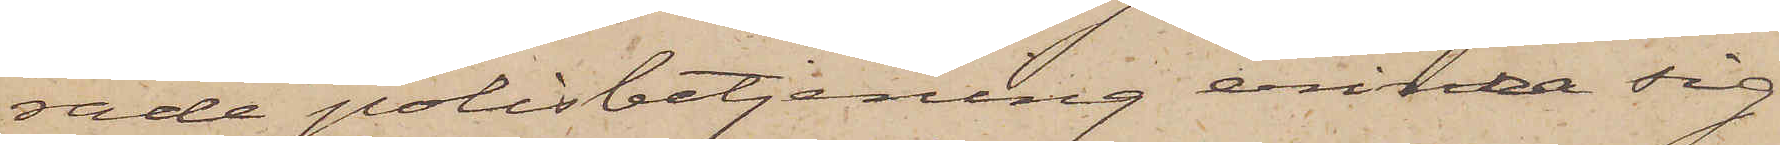rade polisbetjening erinra sig
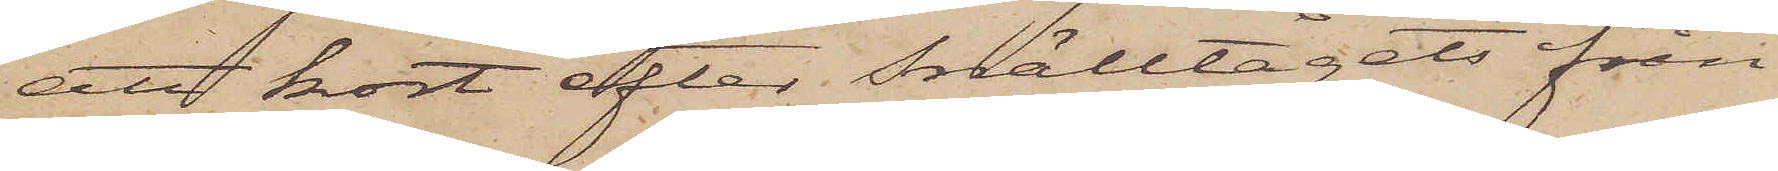att kort efter Snälltågets från
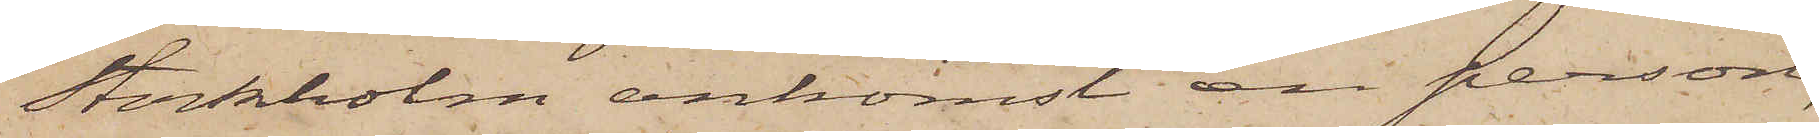Stockholm ankomst en person,
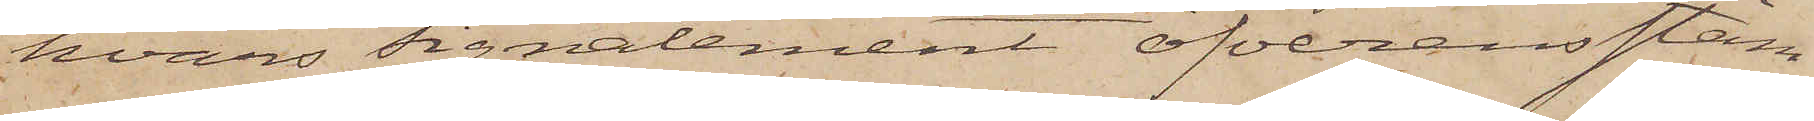hvars signalement öfverensstäm¬
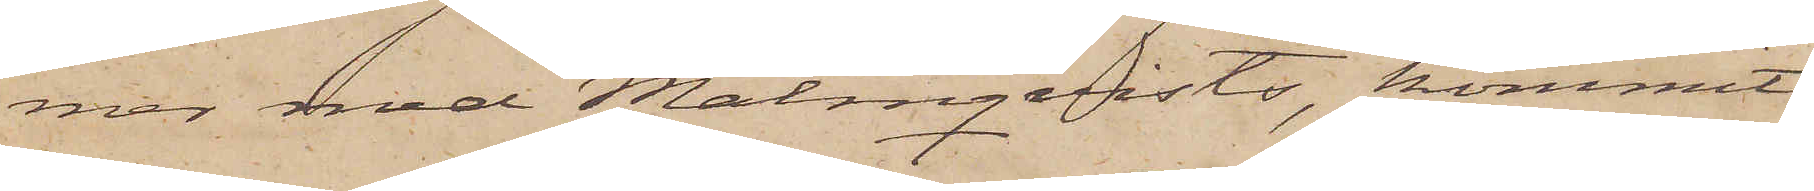mer med Malmqvists, kommit
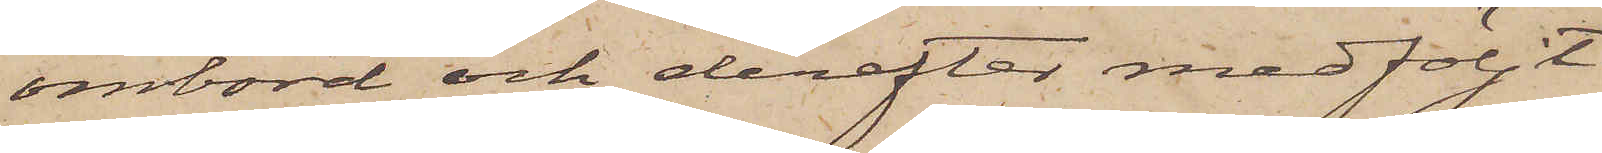ombord och derefter medföljt
